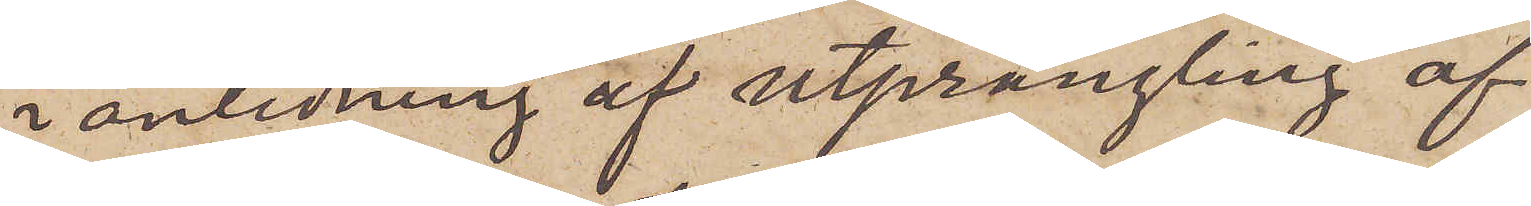i anledning af utprångling af
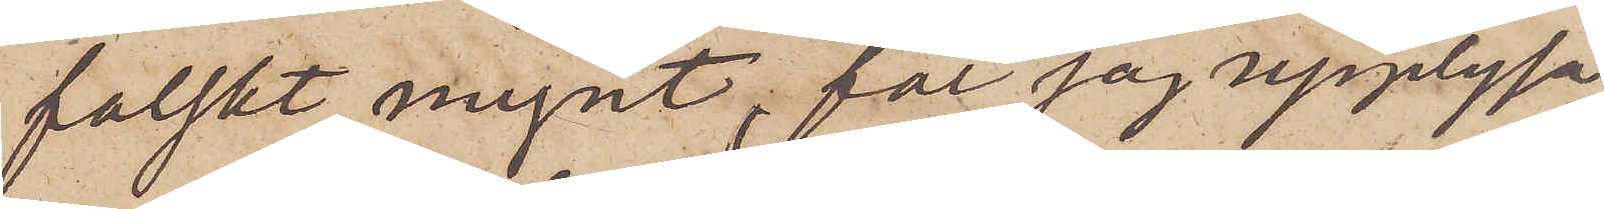falskt mynt, får jag upplysa,
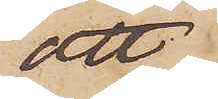att
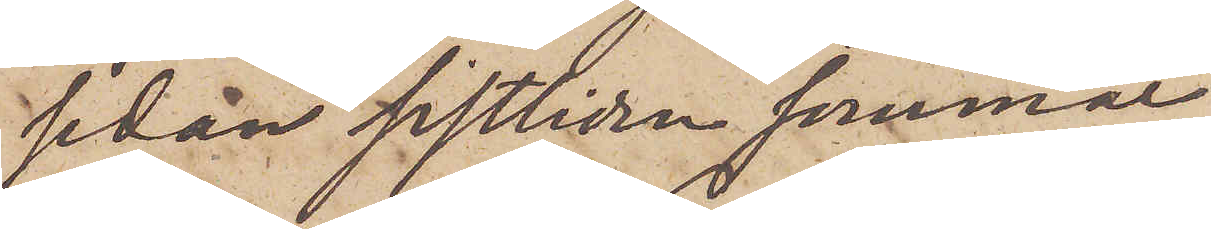sedan sistliden sommar
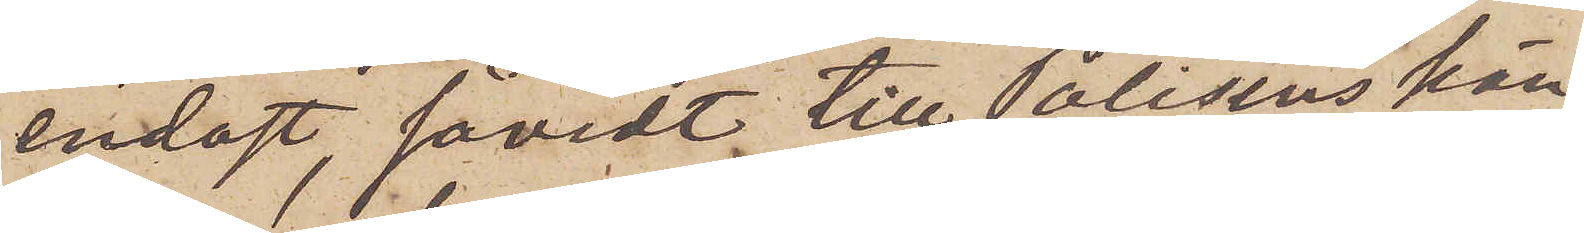endast, såvidt till Polisens kän¬
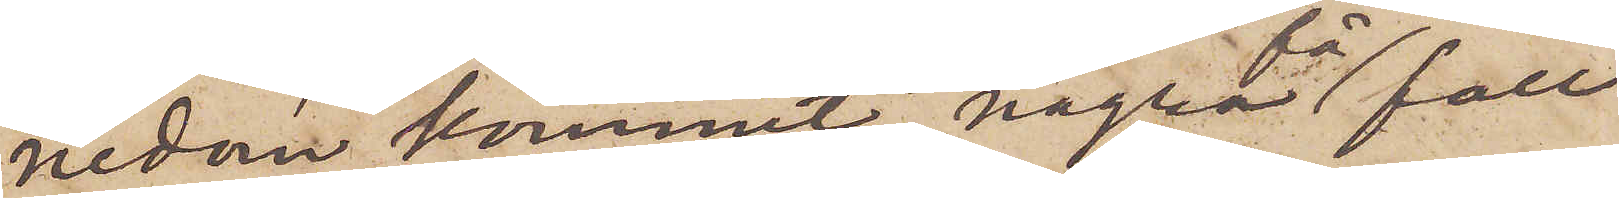nedom kommit, några få fall
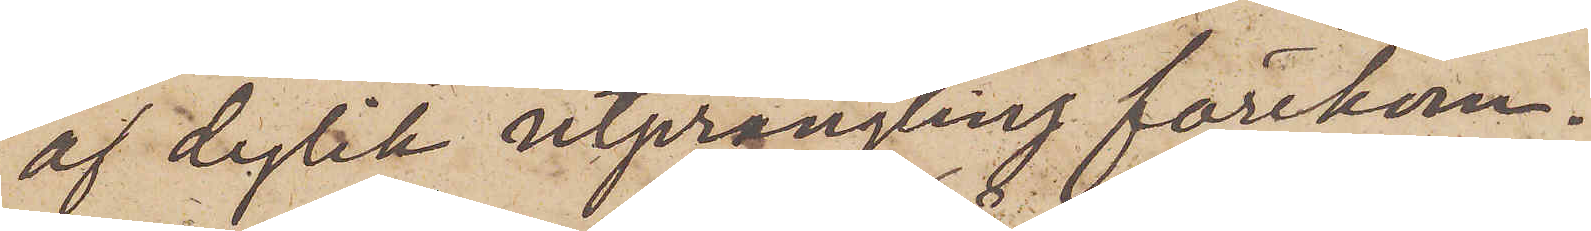af dylik utprångling förekom¬
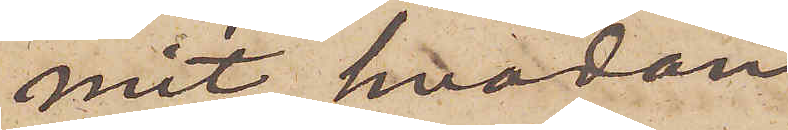mit, hvadan
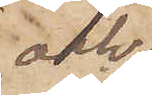och
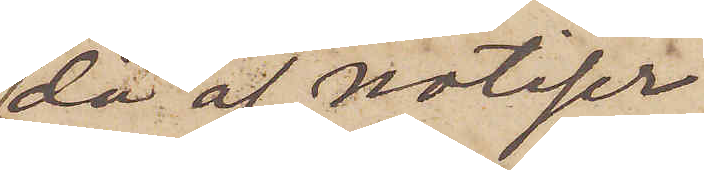då af notiser
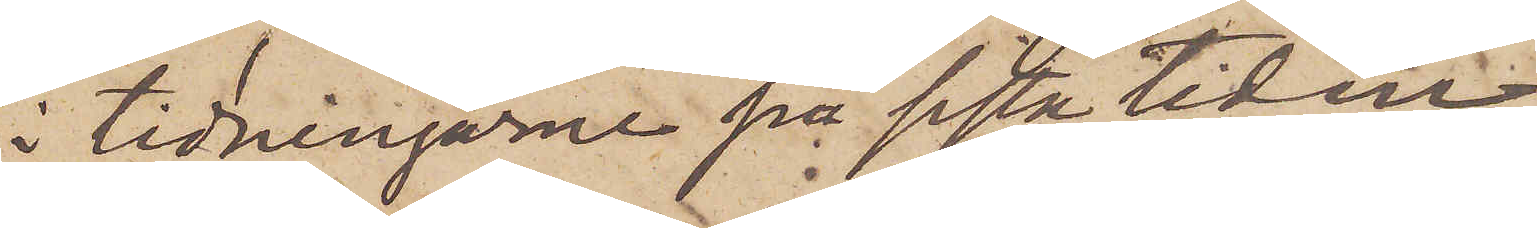i tidningarne på sista tiden
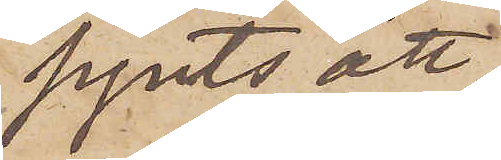synts att
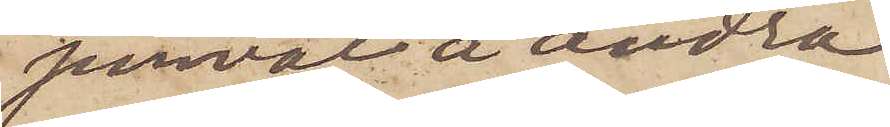jemväl å andra
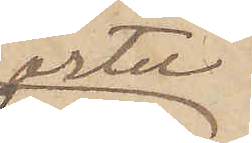orter
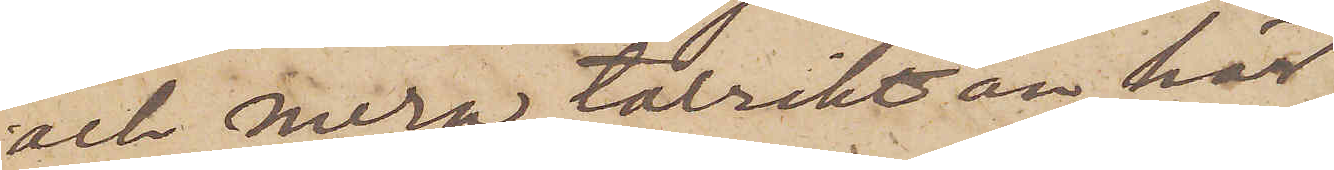och mera talrikt än här
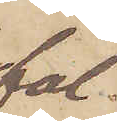fal¬
